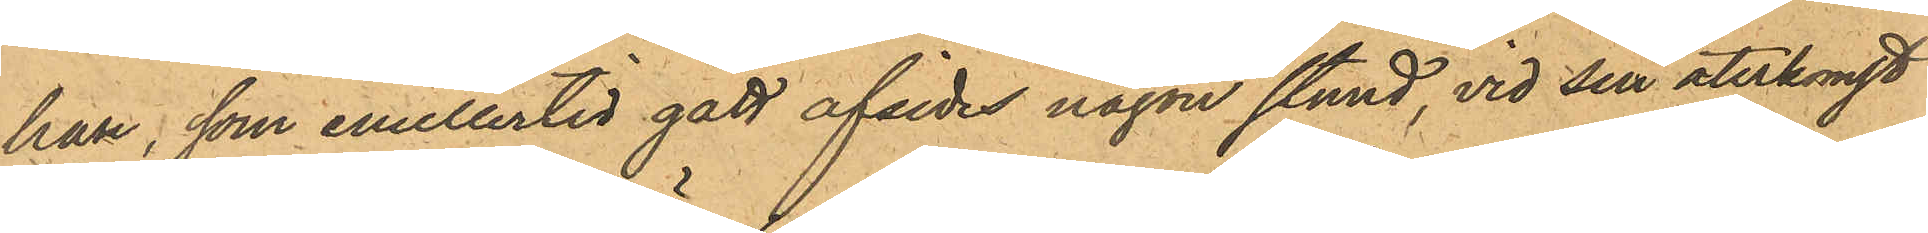han, som emellertid gått afsides någon stund, vid sin återkomst
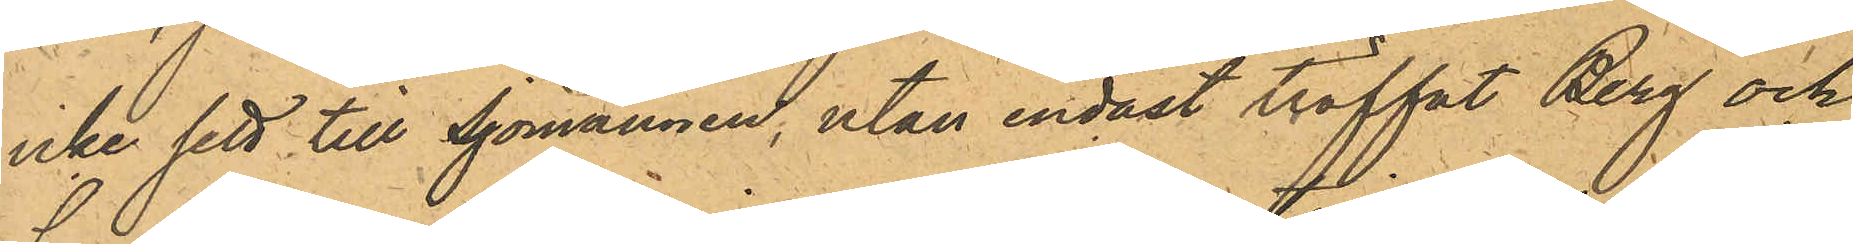icke sett till Sjömännen, utan endast träffat Berg och
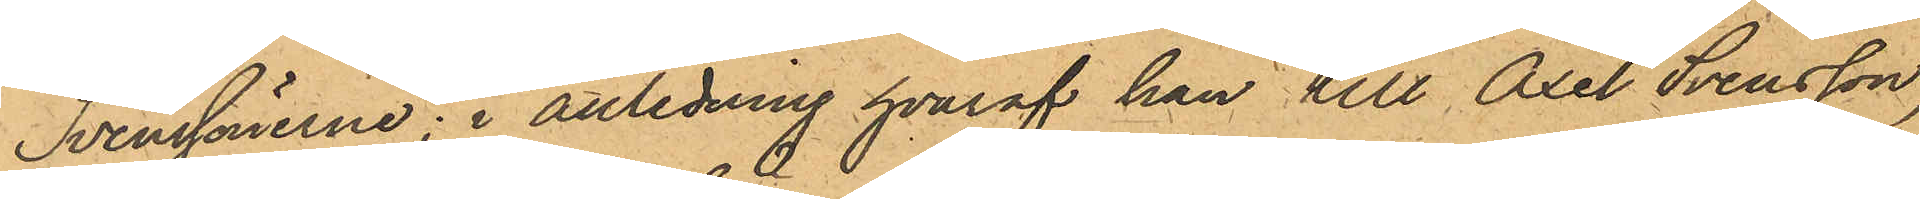Svenssönerne; i anledning hvaraf han till Axel Svensson,
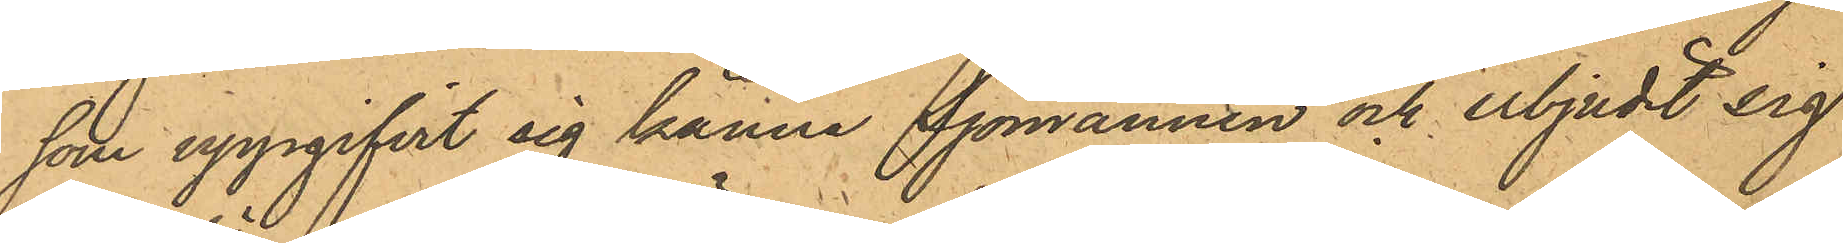som uppgifvit sig känna Sjömännen och erbjudit sig
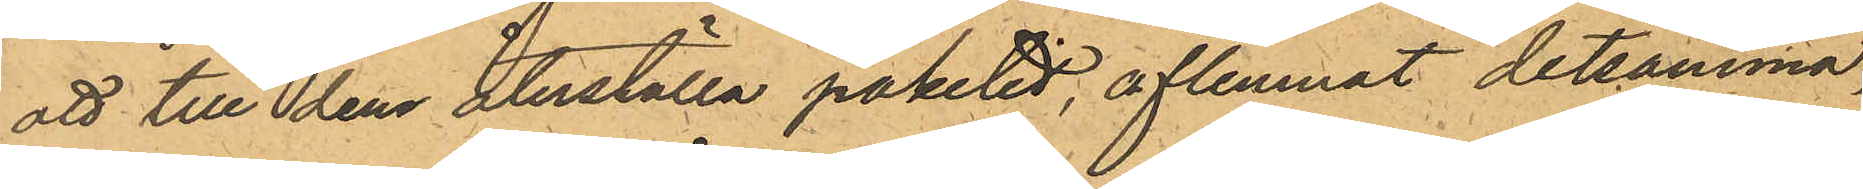att till dem återställa paketet, aflemnat detsamma,
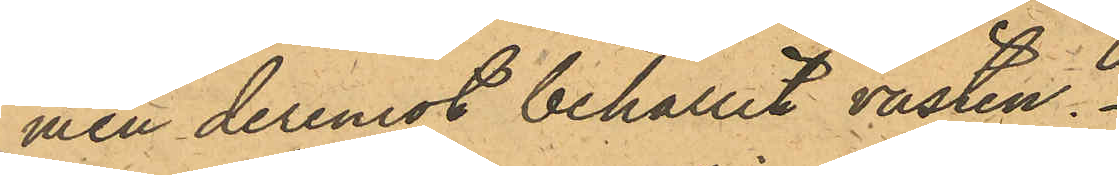men deremot behållit västen.
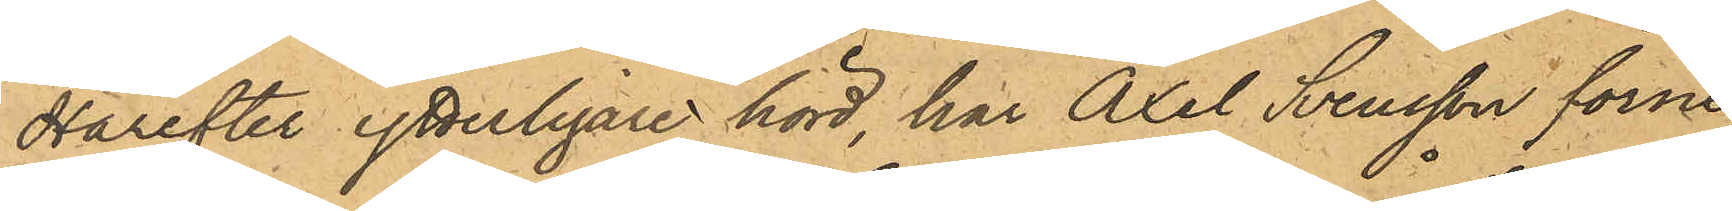Härefter ytterligare hörd, har Axel Svensson förne¬
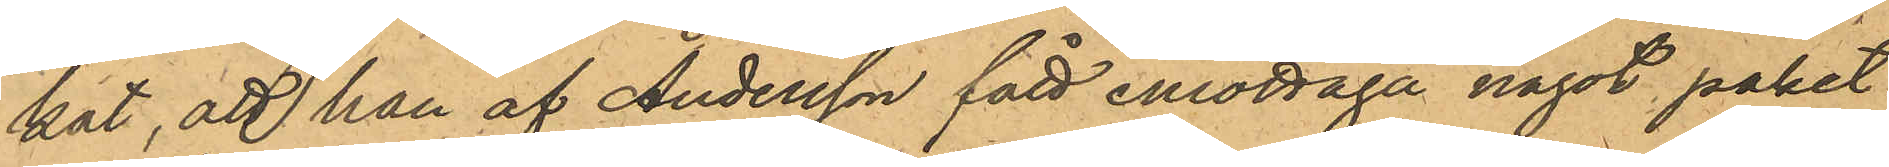kat, att han af Andersson fått emottaga något paket.
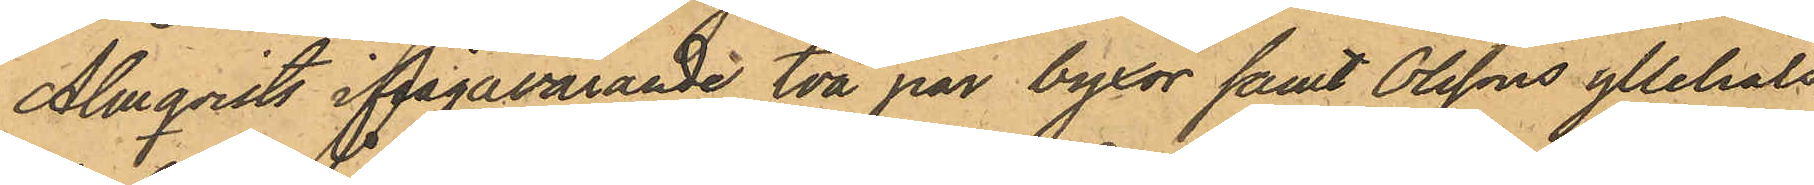Almqvists ifrågavarande två par byxor samt Olssons yllehals¬
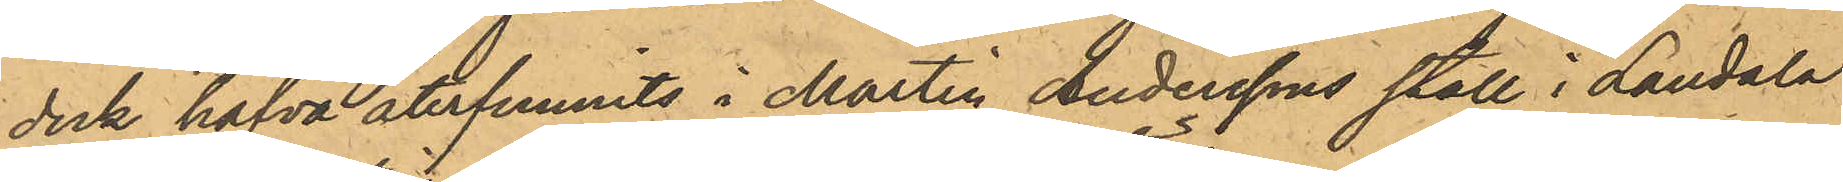duk hafva återfunnits i Martin Anderssons stall i Landala
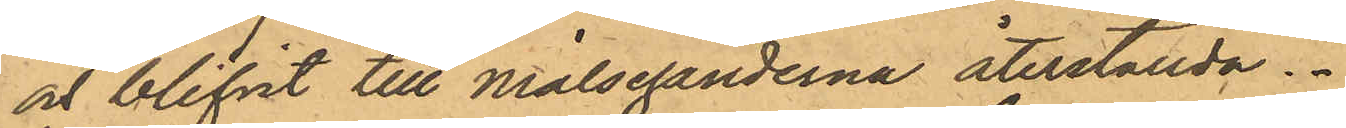och blifvit till Målseganderna återställda.
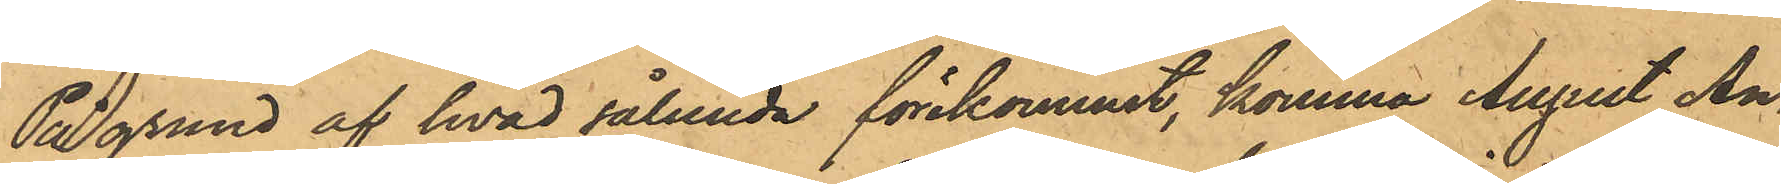På grund af hvad sålunda förekommit, komma August An¬
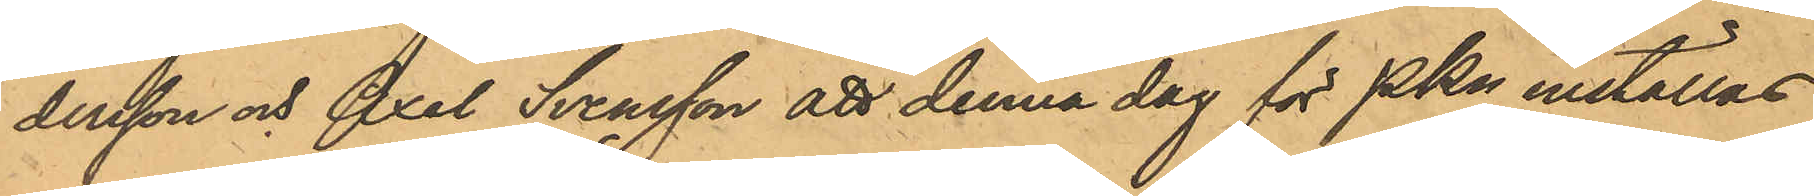dersson och Axel Svensson att denna dag för PKn inställas.
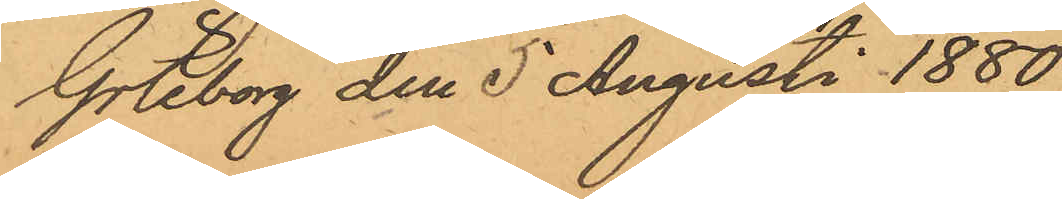Göteborg den 5 Augusti 1880.
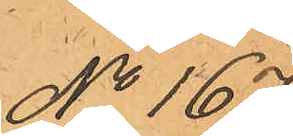No 167.
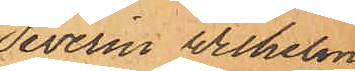Severin Wilhelm
